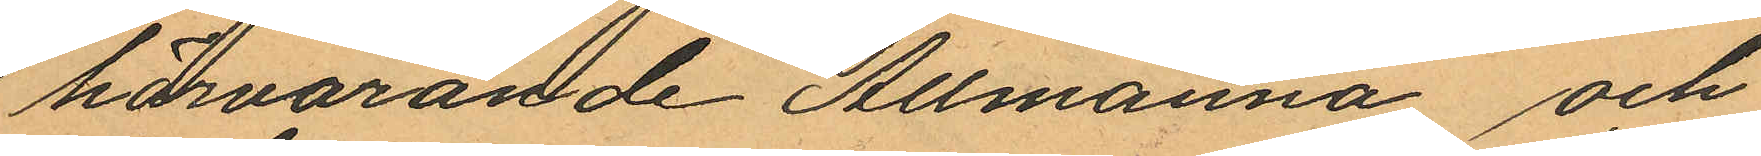härvarande Allmänna och
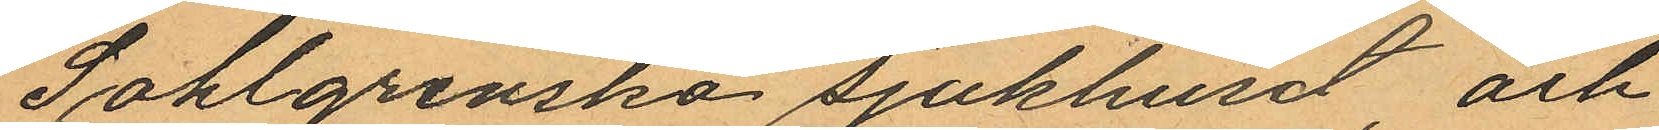Sahlgrenska sjukhuset, och
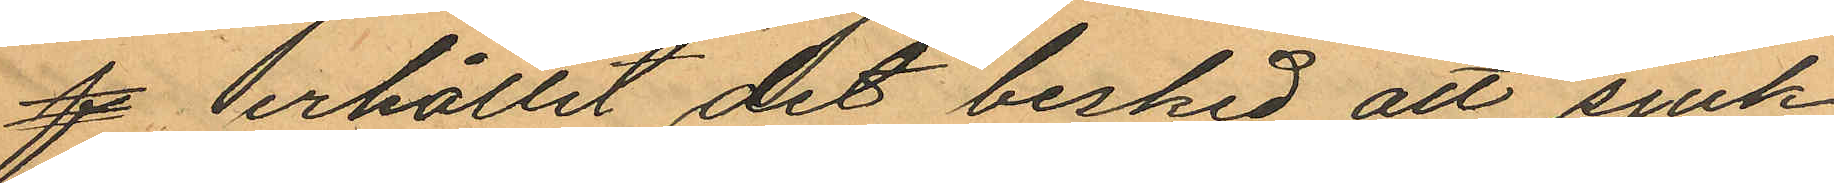f erhållit det besked att sjuk
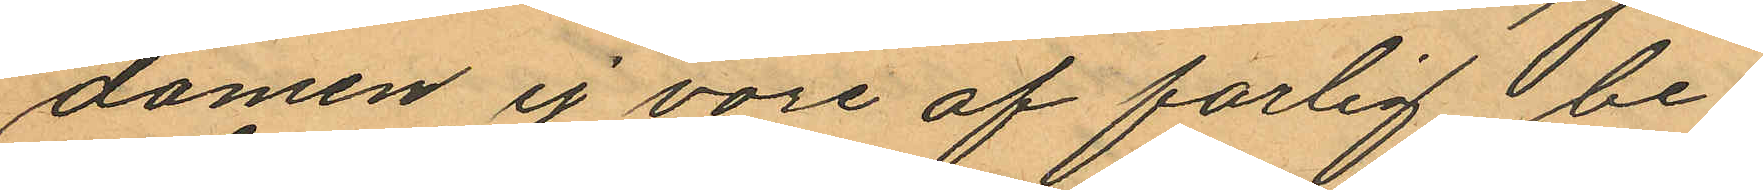domen ej vore af farlig be¬
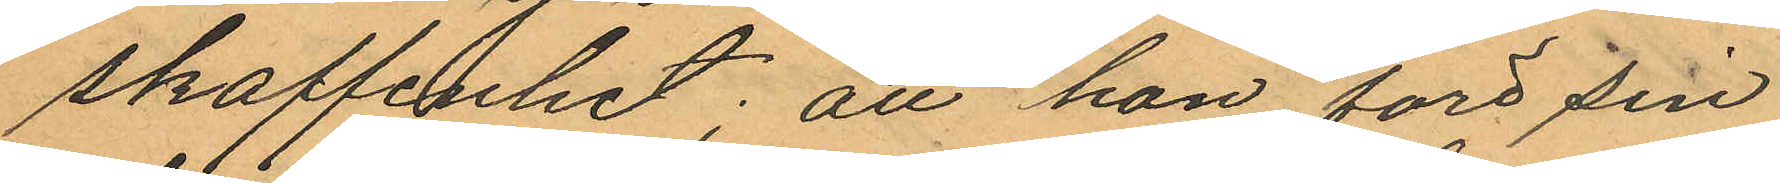skaffenhet; att hon före sin
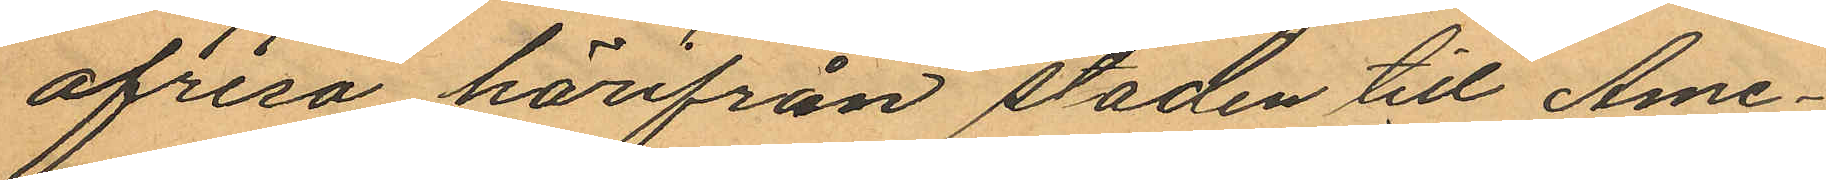afresa härifrån staden till Ame¬
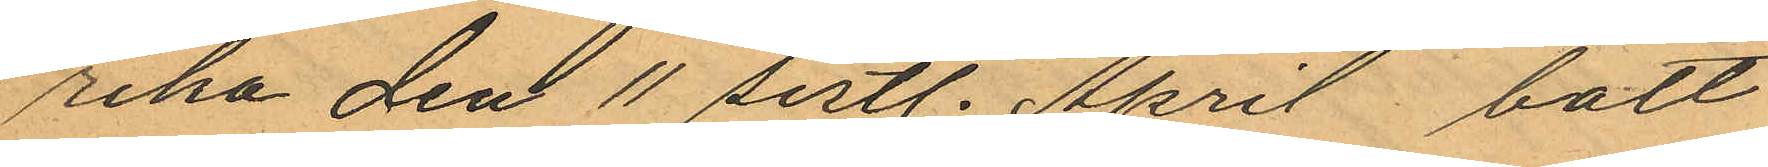rika den 11 sistl. April bott
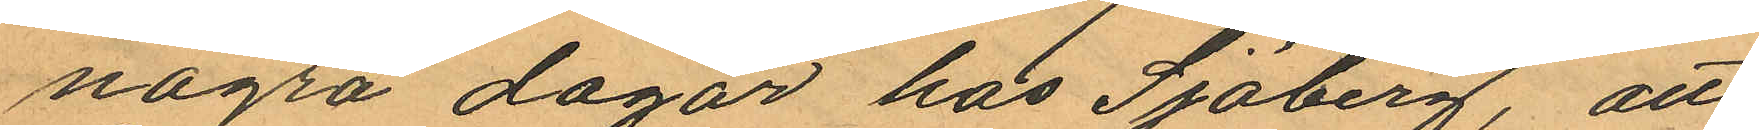några dagar hos Sjöberg, att
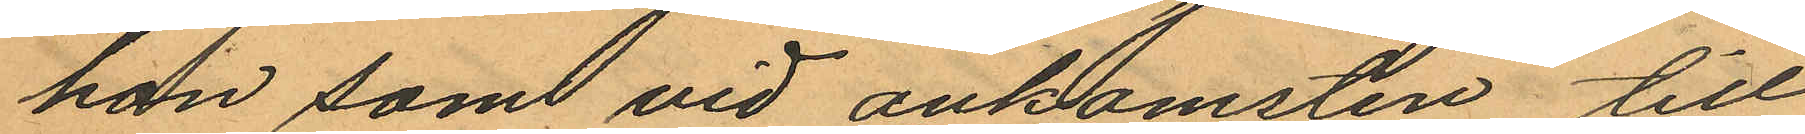hon som vid ankomsten till
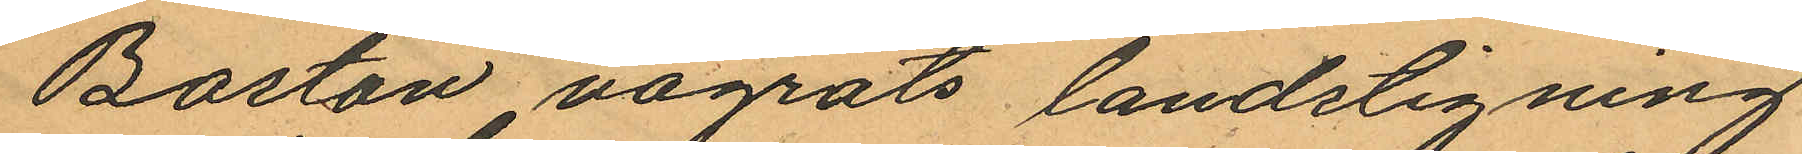Bostan vägrats landstigning
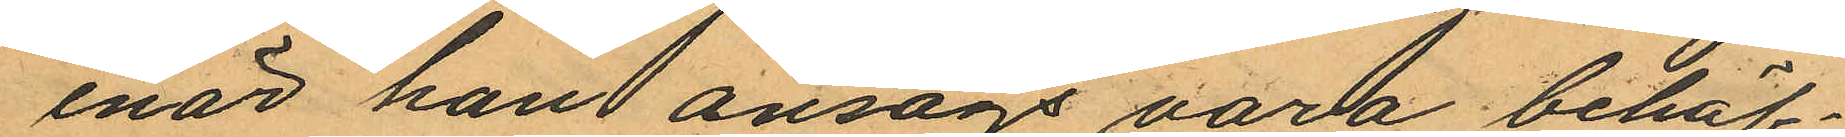enär han ansågs vara behäf¬
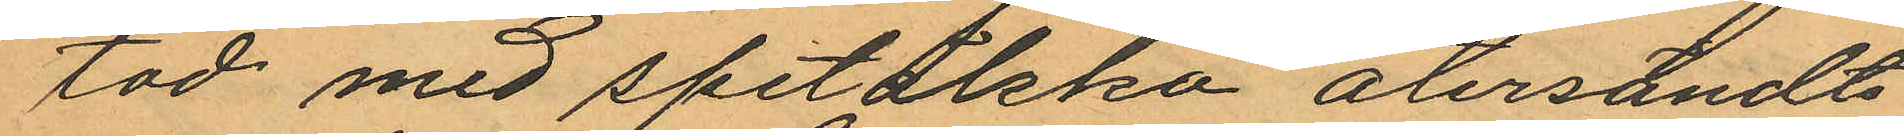tad med spetälska återsändts
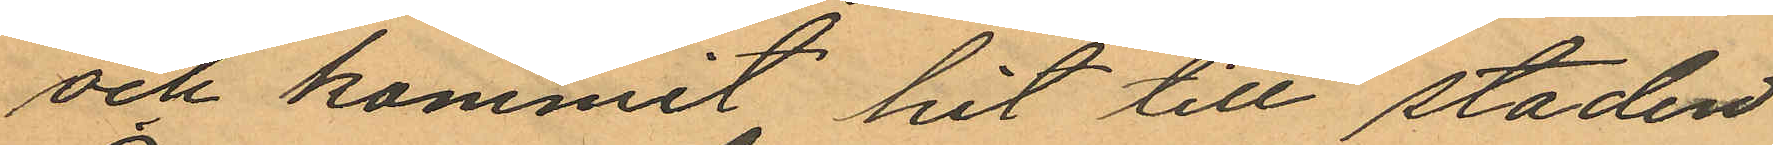och kommit hit till staden
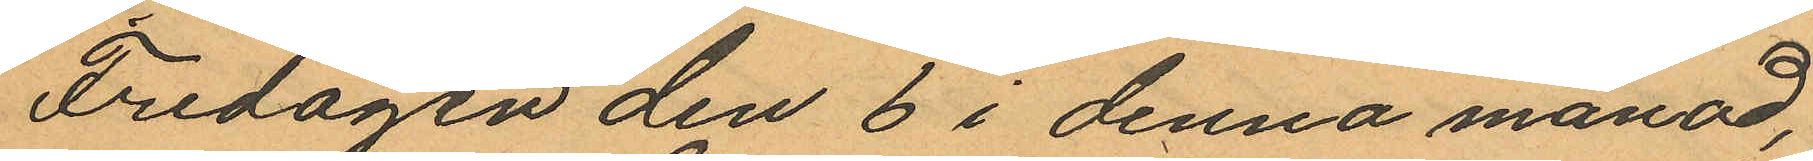Fredagen den 6 i denna månad,
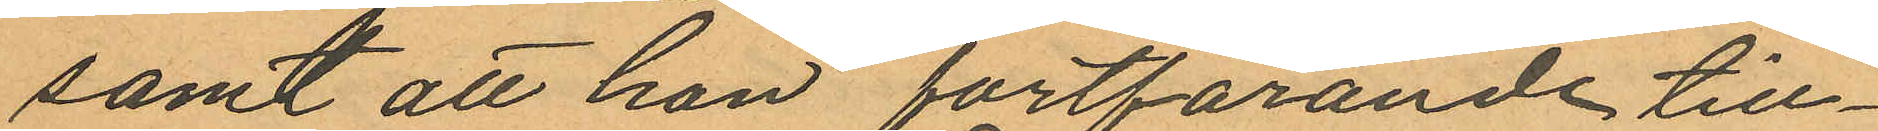samt att hon fortfarande till¬
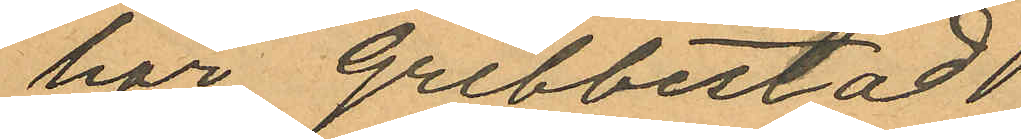hör Grebbestad
